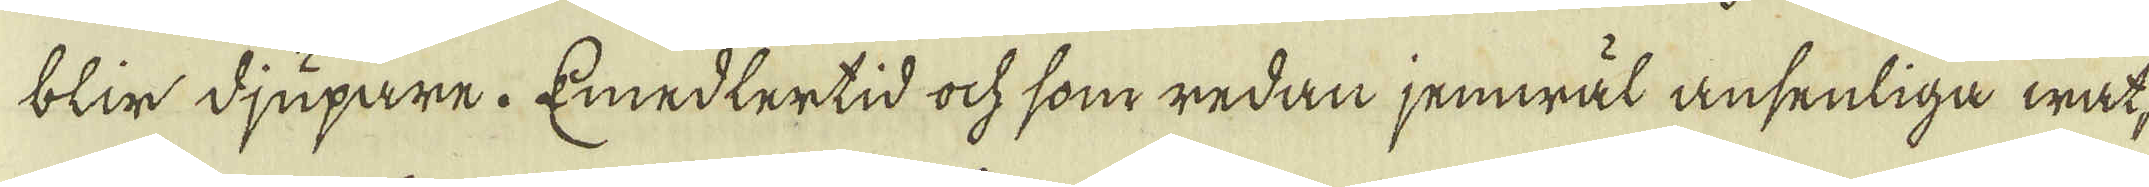blir djupare. Emedlertid ock som redan jemwäl ansenliga wat-
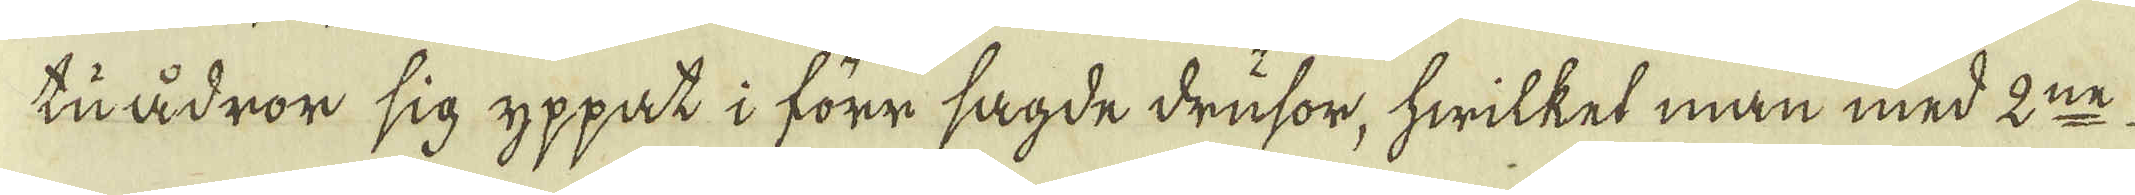tuådror sig yppat i förr sagde drusor, hwilket man med 2:ne
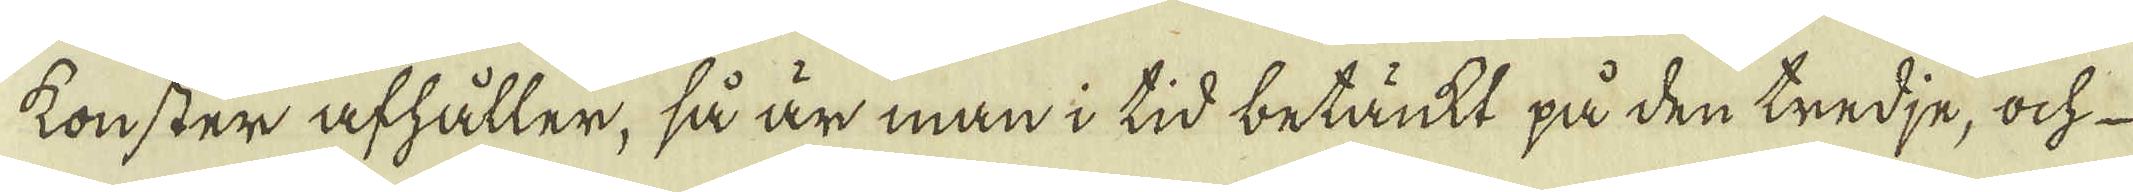konster afhåller, så är man i tid betänkt på den tredje, och
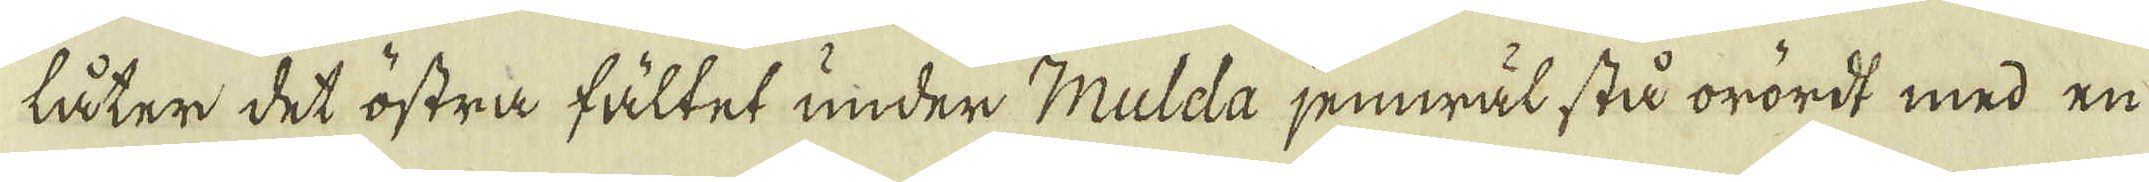låter det östra fältet under Mulda jemwäl stå orördt med en
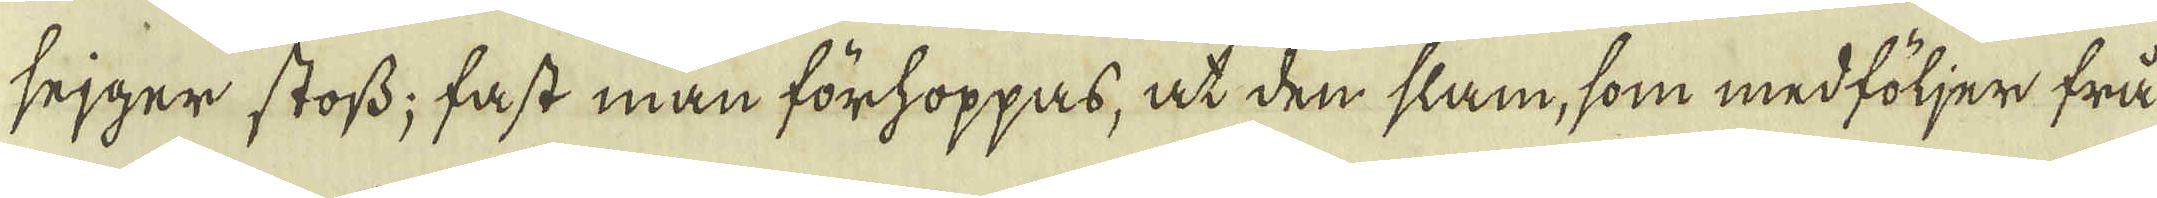sejger stoss; fast man förhoppas, at den slam, som medföljer frå
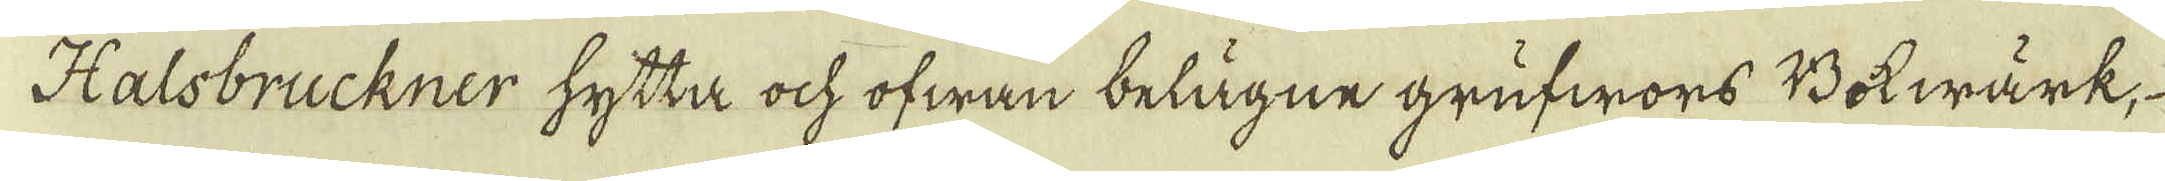Halsbruckner hytta ock ofwan belägne grufwors Bokwärk,
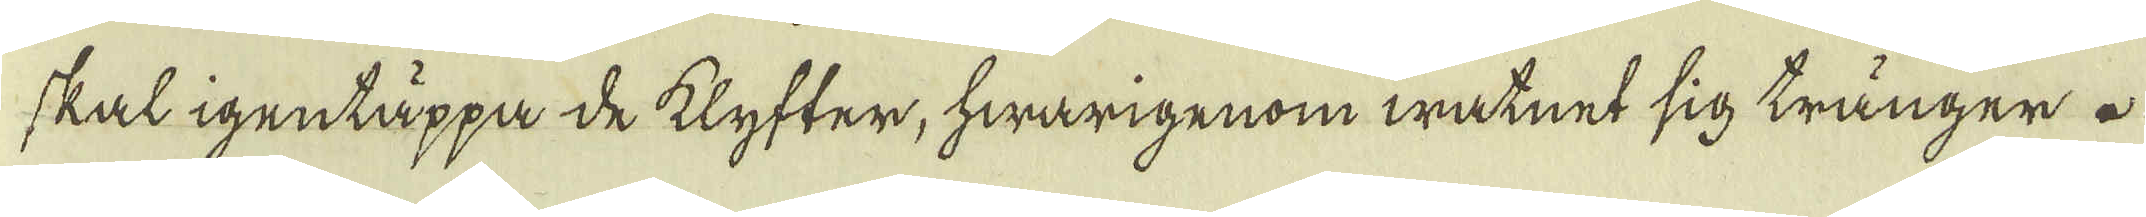skal igentäppa de klyfter, hwarigenom watnet sig tränger.
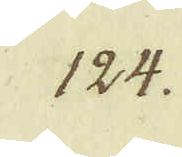124.
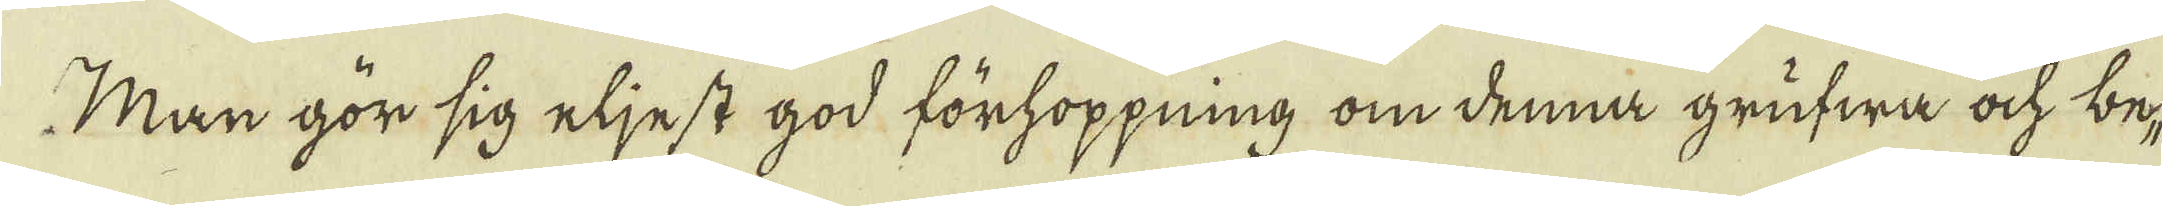Man gör sig eljest god förhoppning om denna grufwa ock be-
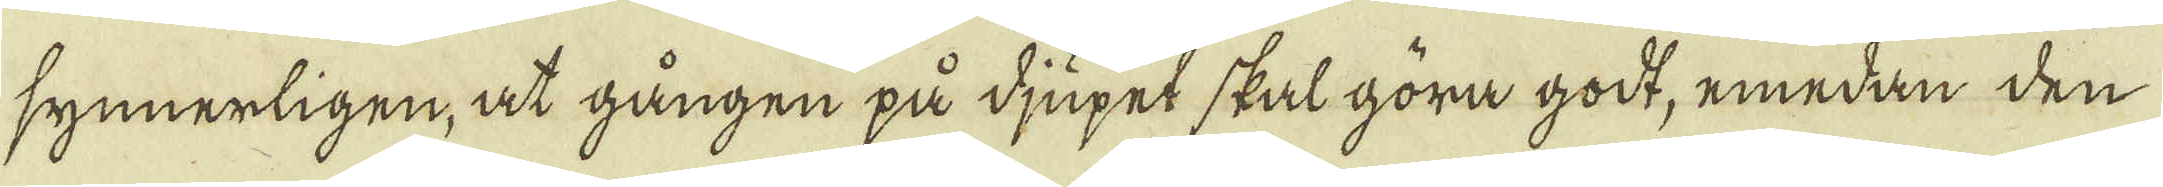synnerligen, at gången på djupet skal göra godt, emedan den
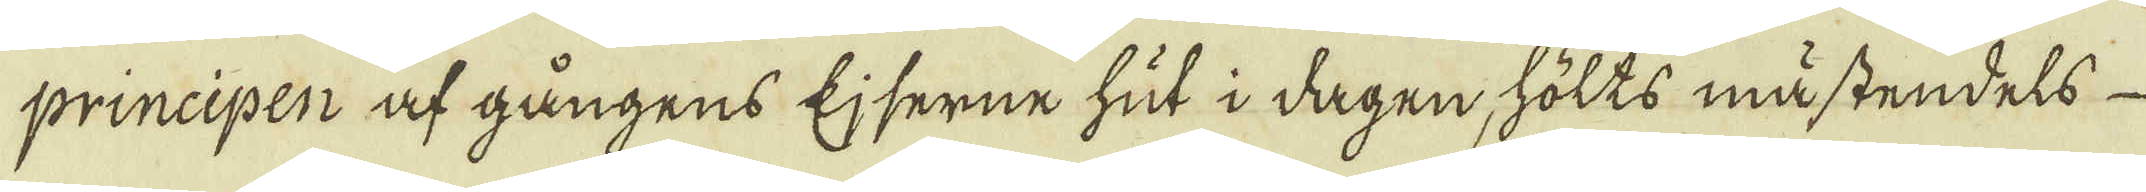principen af gångens Ejserne hut i dagen, hölts mästendels
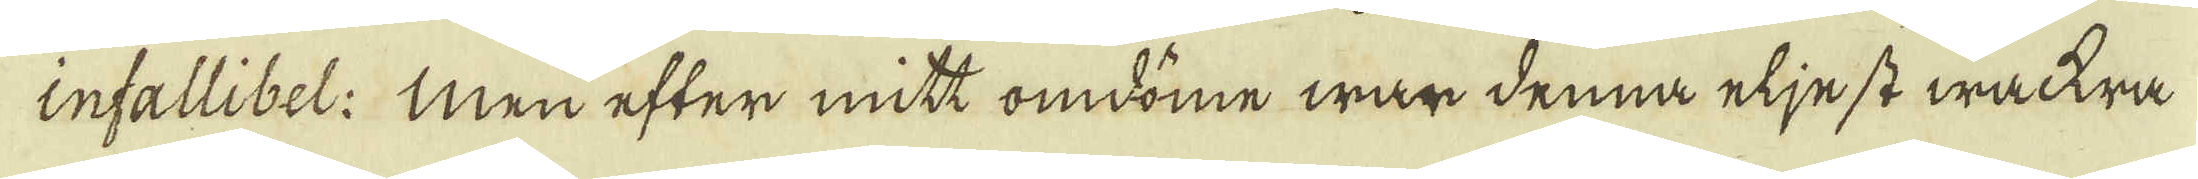infallibel: men efter mitt omdöme wan denna eljest wackra
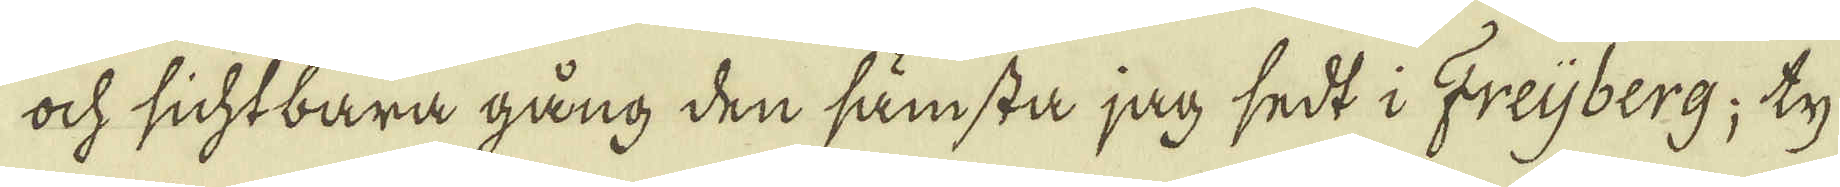ock sichtbara gång den sämsta jag sedt i Freijberg; ty
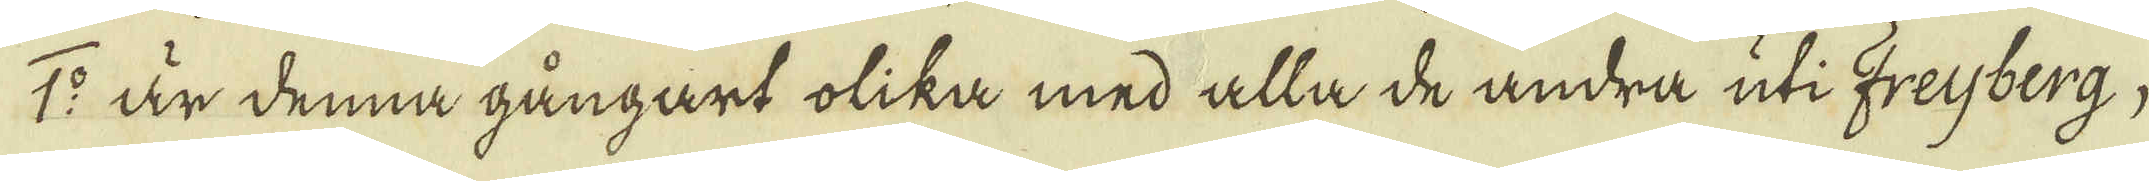1:o är denna gångart olika med alla de andra uti Freijberg,
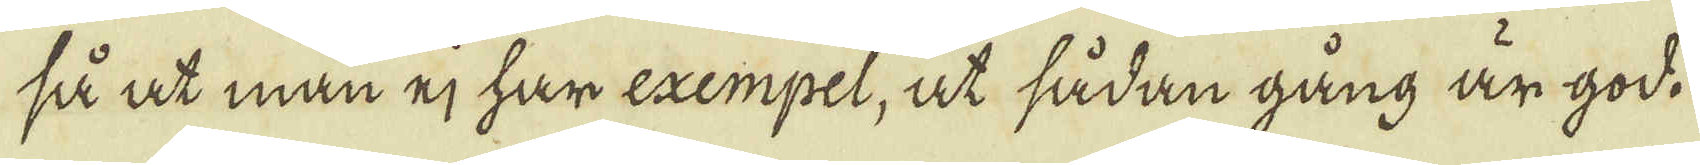så at man ej har exempel, at sådan gång är god.
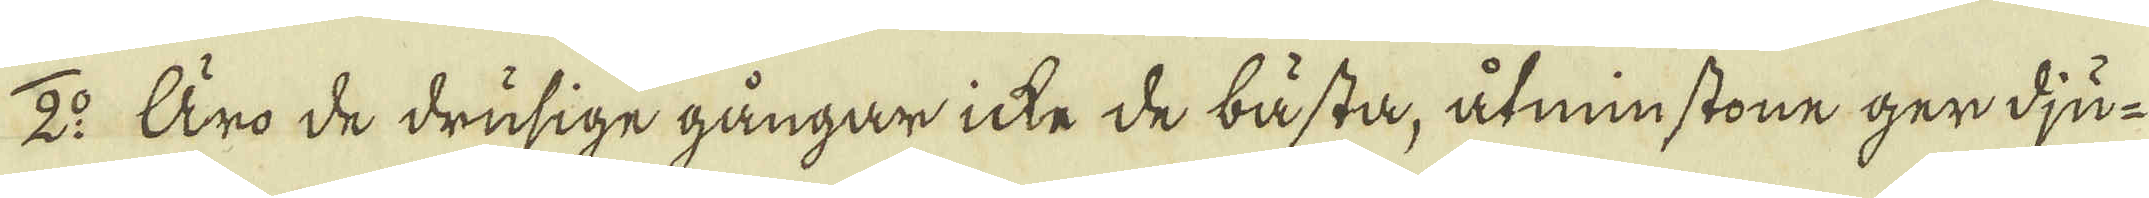2:o Äro de drusige gångar icke de bästa, åtminstone ger dju-
